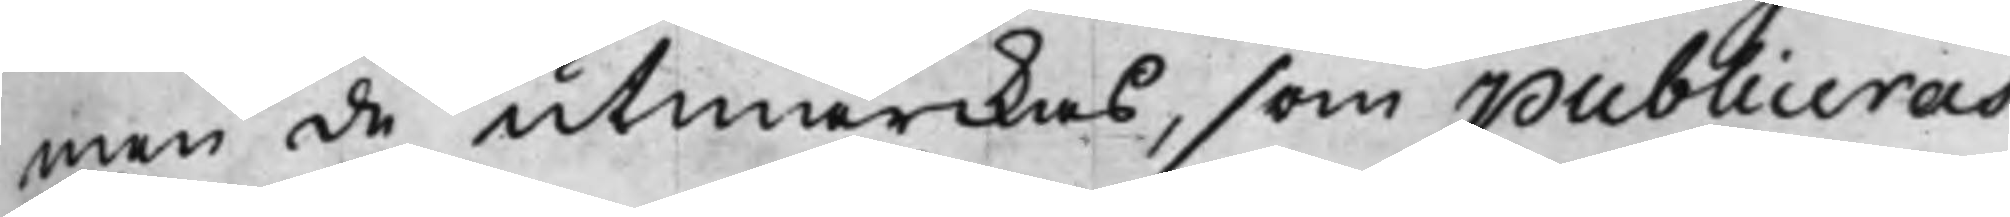men de utmärckas, som publiceras
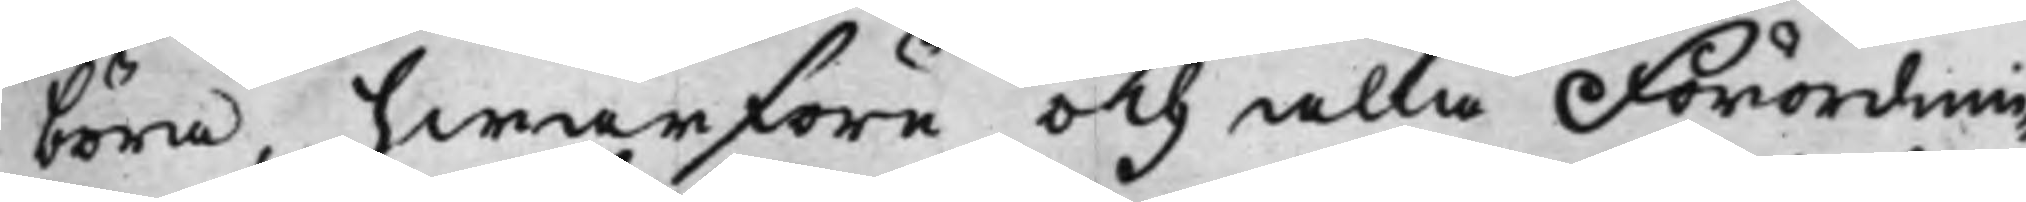böra, hwarföre och alla Förordnin¬
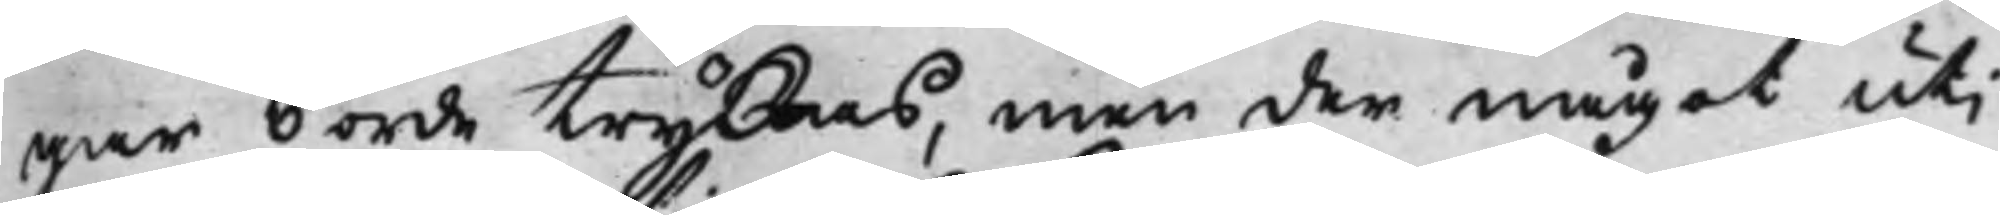gar borde tryckas, men der något utj
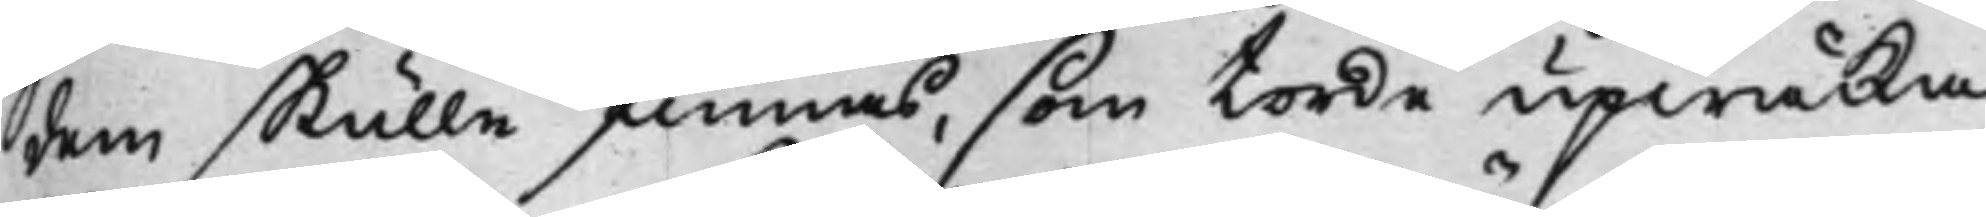dem skulle finnas, som torde upwäcka
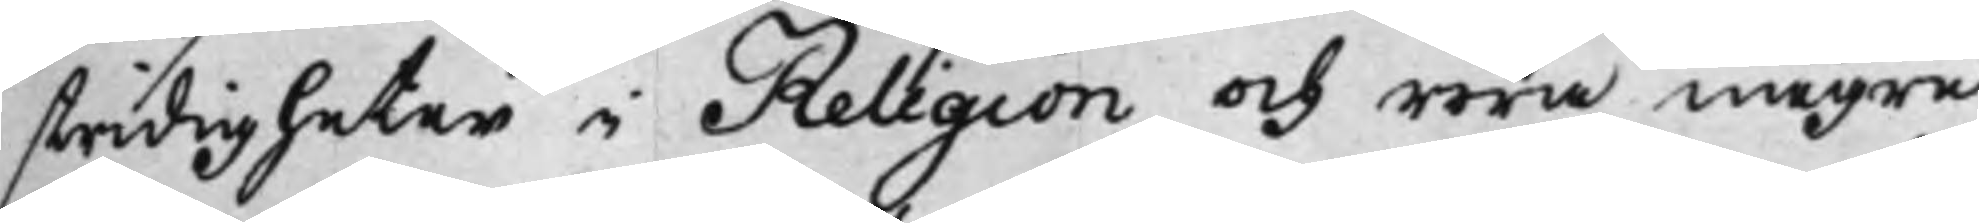stridigheter i Religion och röra någre
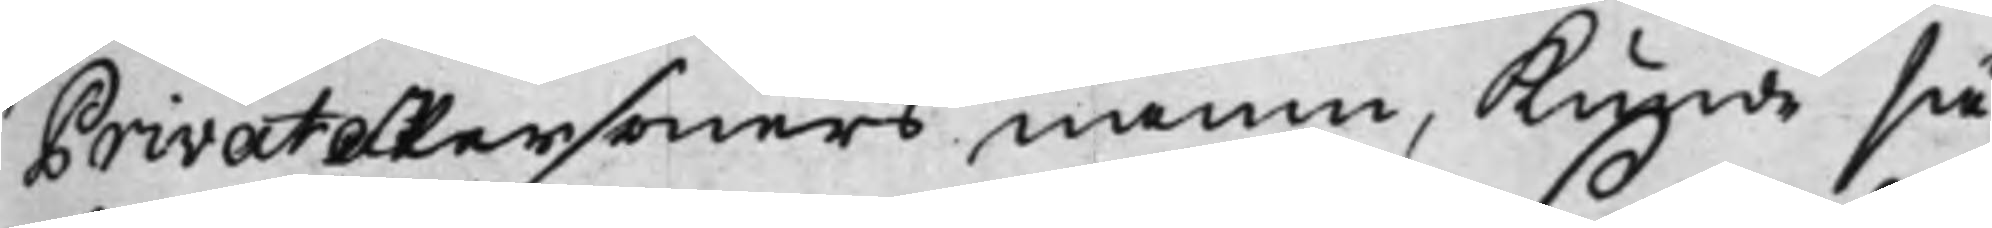PrivatePersoners namn, kunde så¬
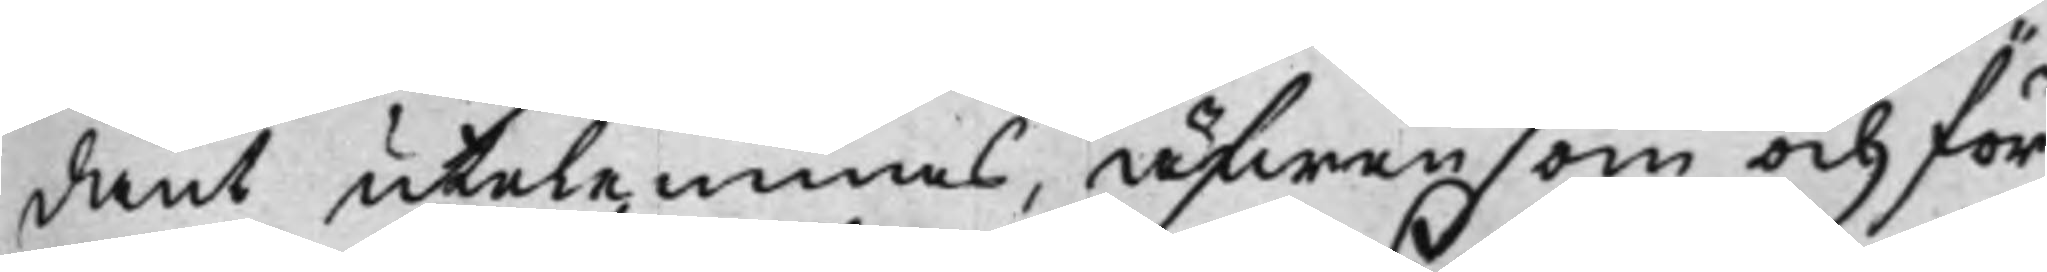dant utelemnas, äfwen som och för
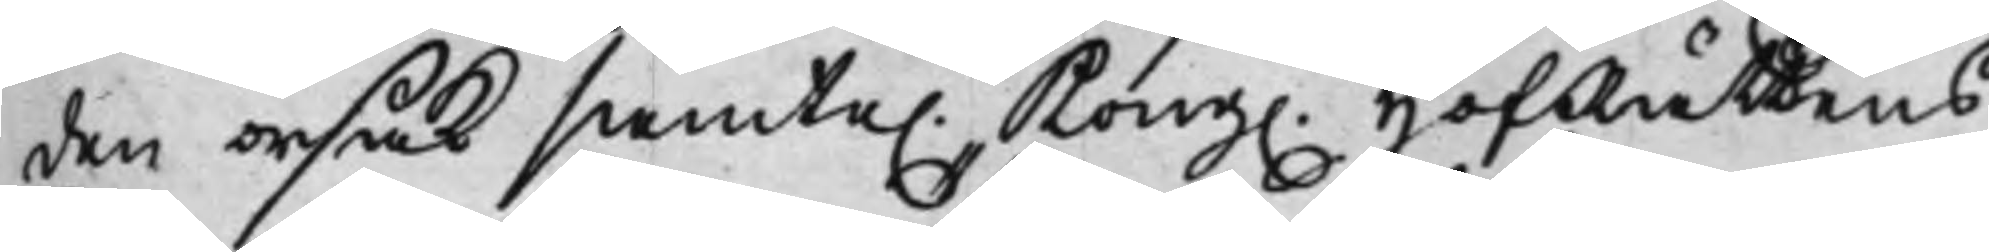den orsak samte. Kong. HofRättens
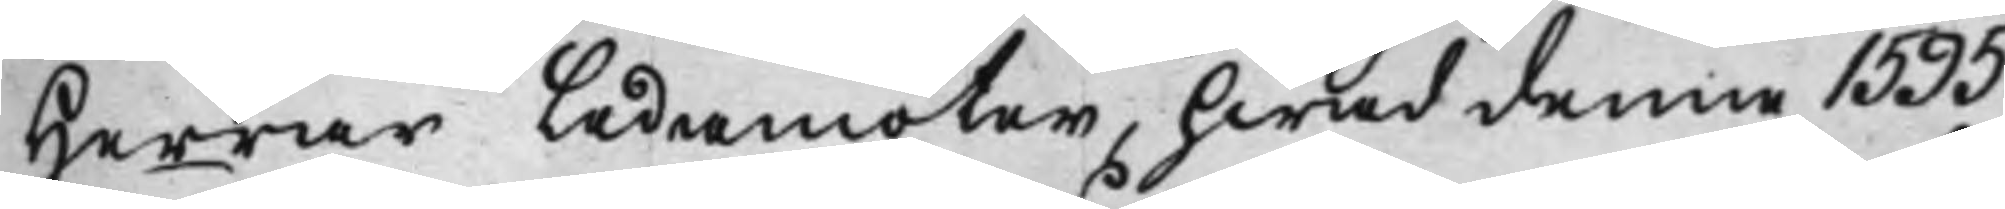Herrar Ledamöter, hwad denne 1595
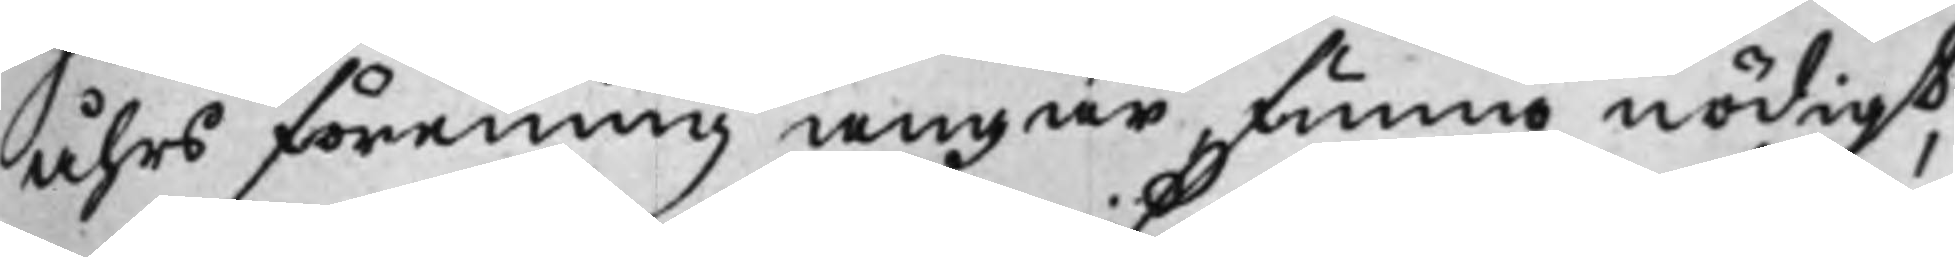åhrs förening angår, funno nödigt,
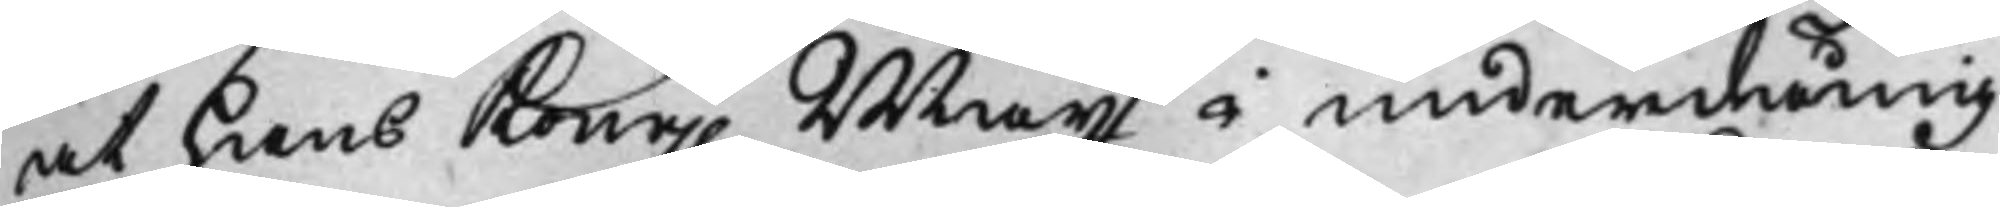at hans Kong. Maijt i underdånig¬
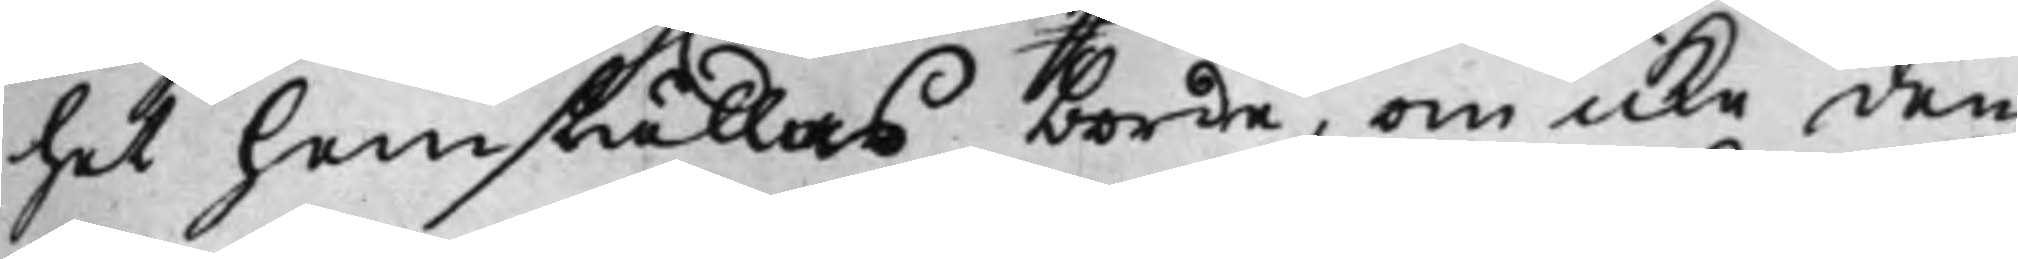het hemställas borde, om icke den
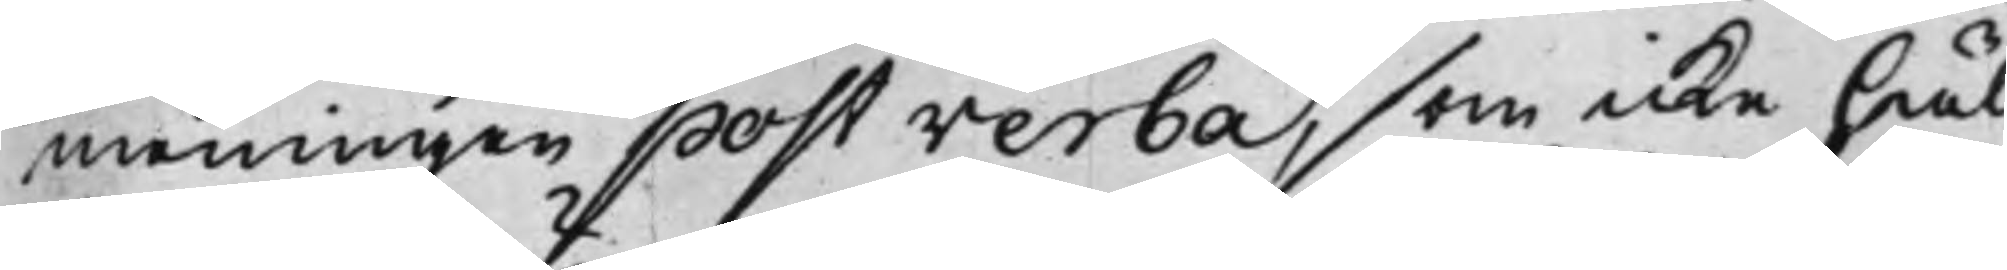meningen post verba, som icke häl¬
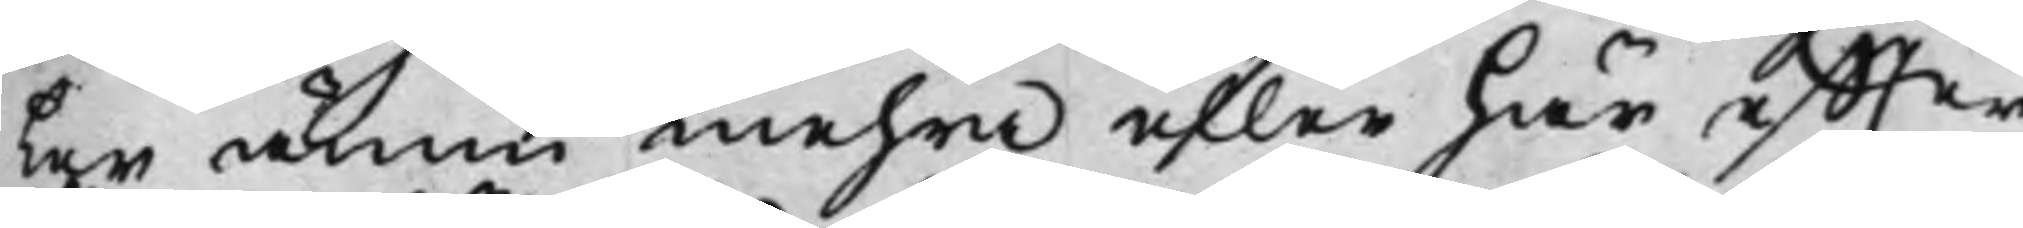ler ännu mehra eller här effter
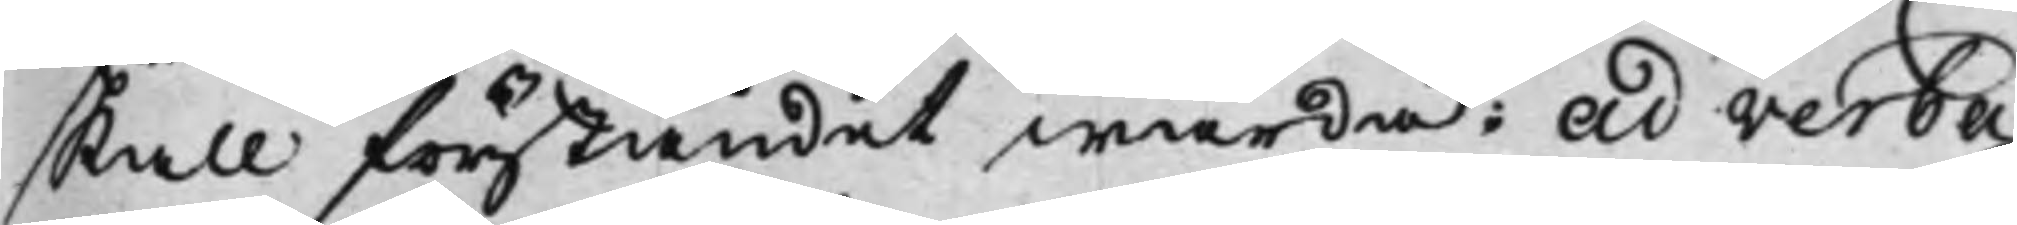skall förståndet warda; ad verba:
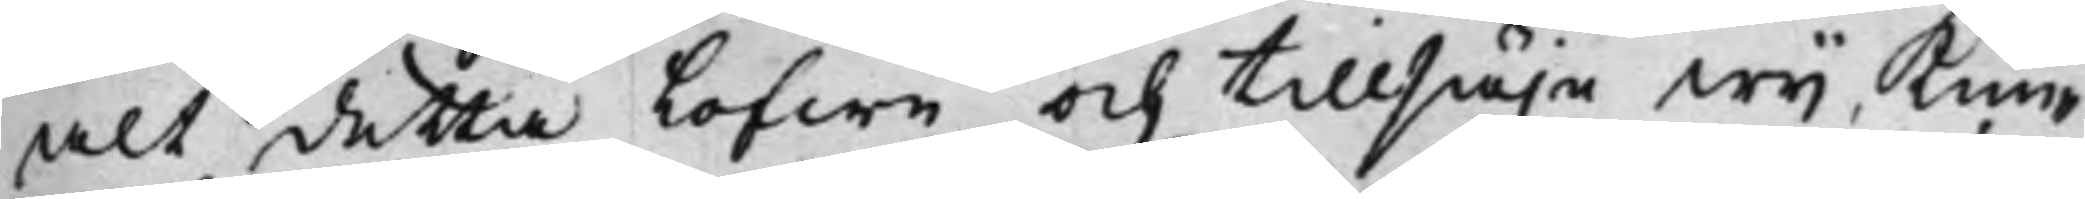alt detta Lofwa och tillsäja wij, kun¬
